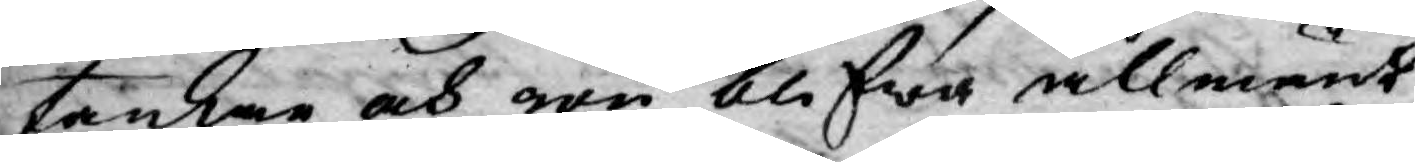tankar och rön blifwa allmänt
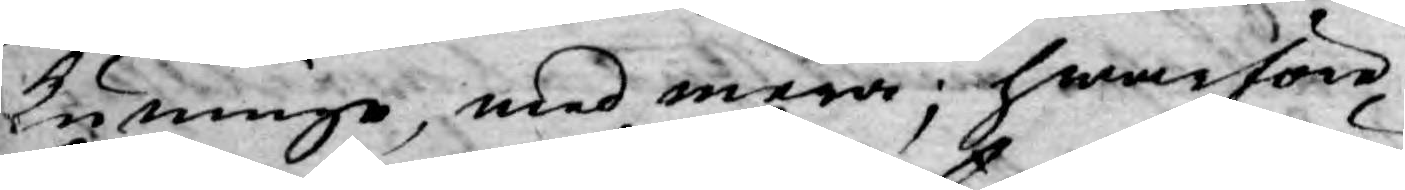kunnige, med mera; hwarföre
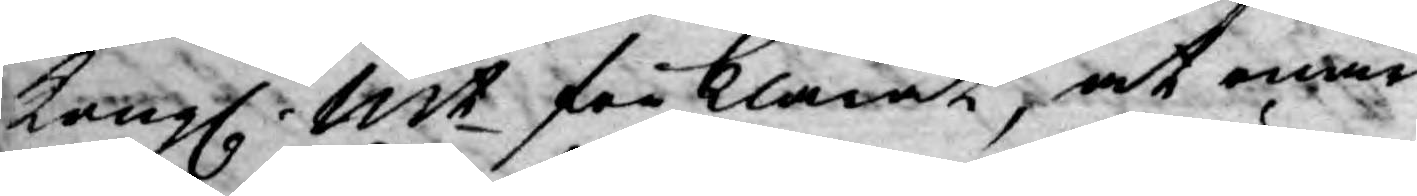Kongl. Mt förklarat, at enär
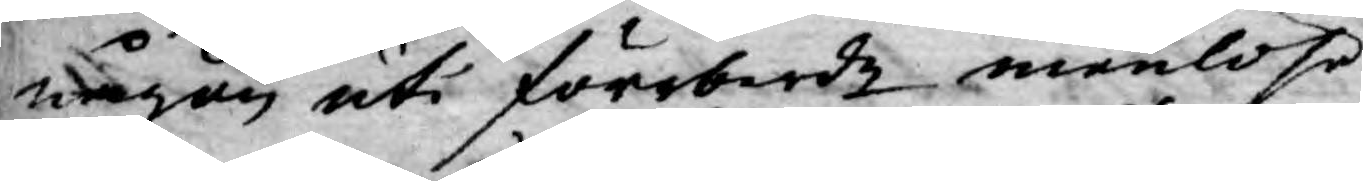någon uti förrberde menlöse
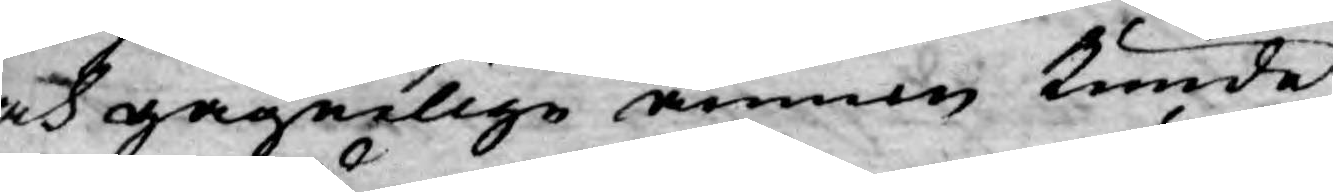och gagnelige ämnen kunde
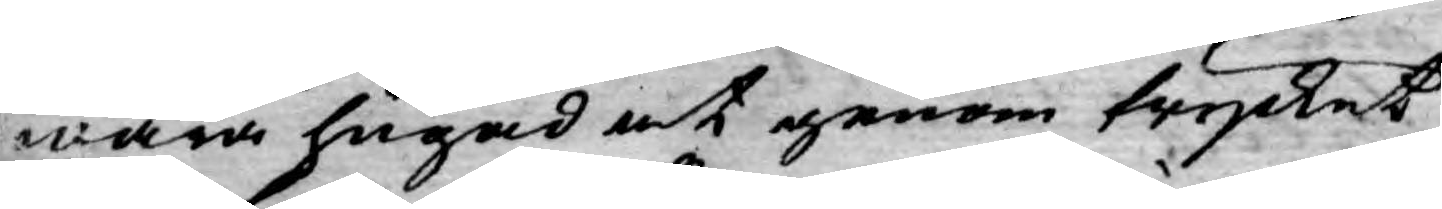wara hugad at genom trycket
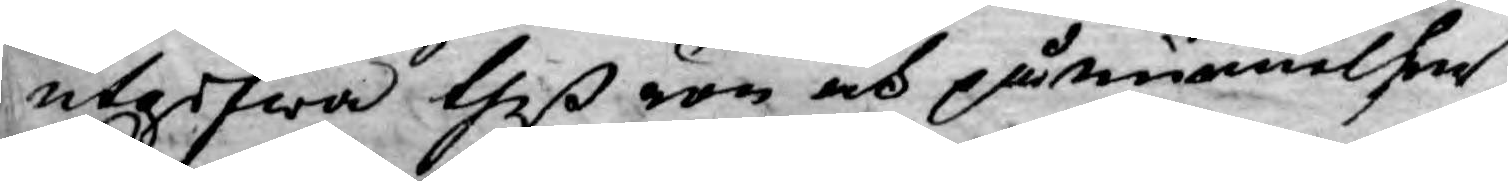utgifwa theß rön och påminnelser,
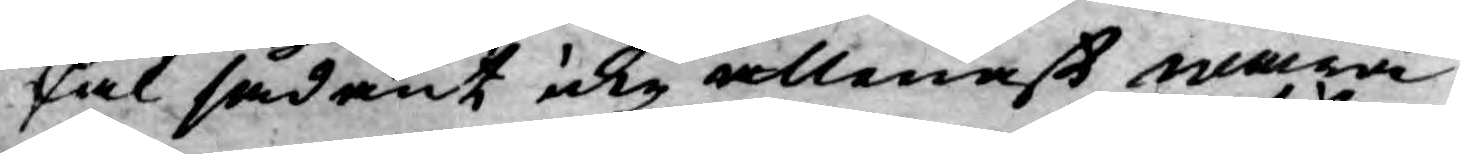skal sådant icke allenast wara
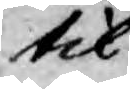til¬
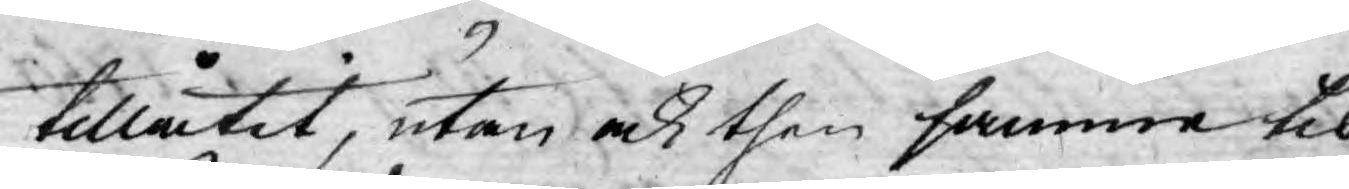tillåtit, utan och then samma til
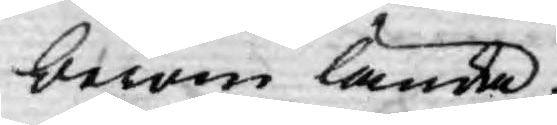beröm lända.
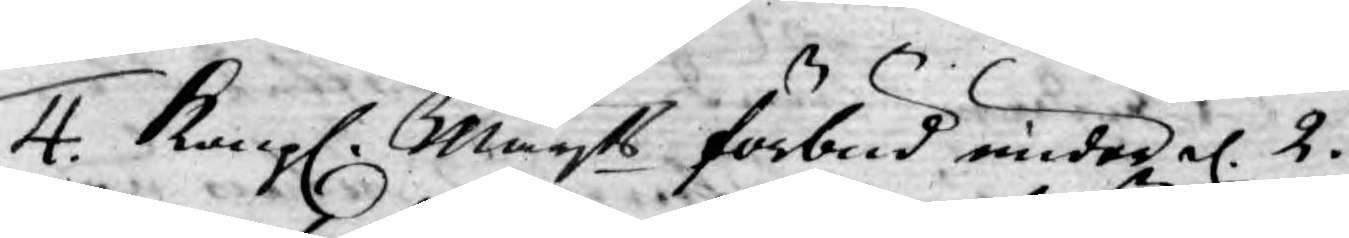4. Kongl. Mayts förbud under d. 2.
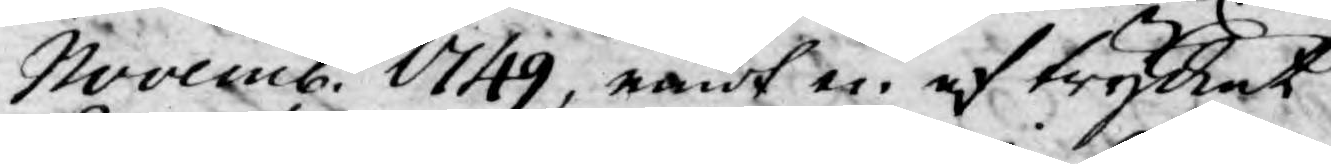Novemb. 1749, med en af trycket
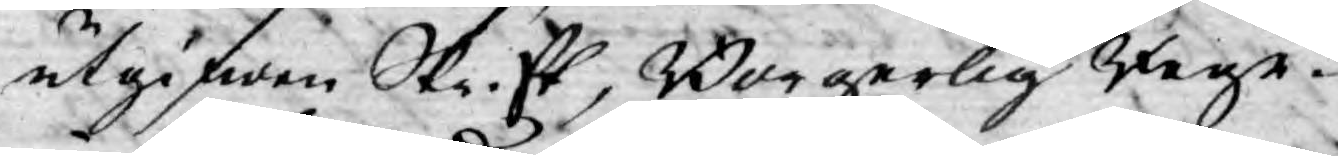utgifwen Skrift, Borgerlig Rege¬
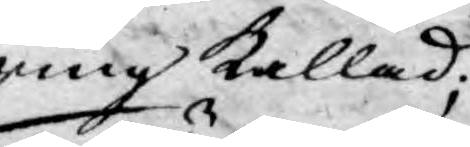ring kallad;
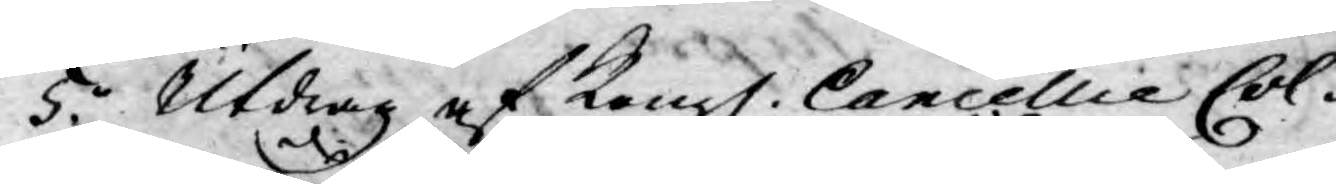5.o Utdrag af Kongl. Cancellie Col¬
